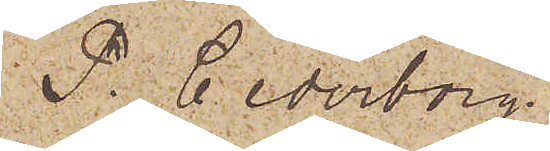P. Cederborg.
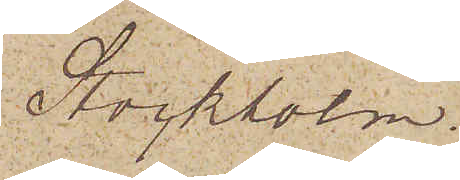Stockholm.
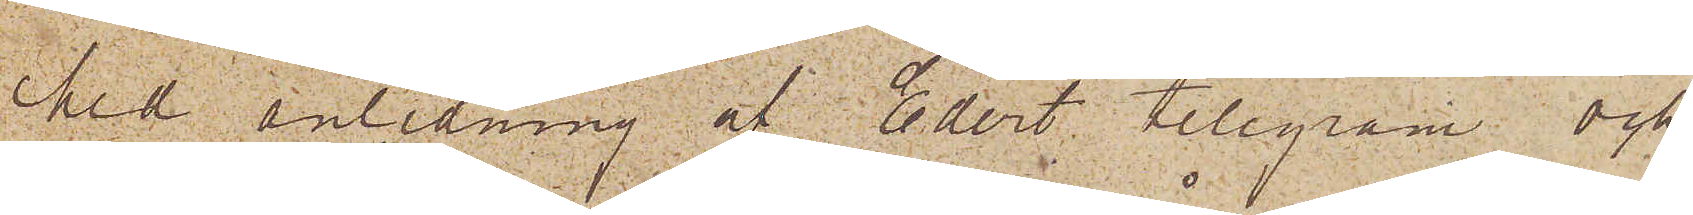Med anledning af Edert telegram och
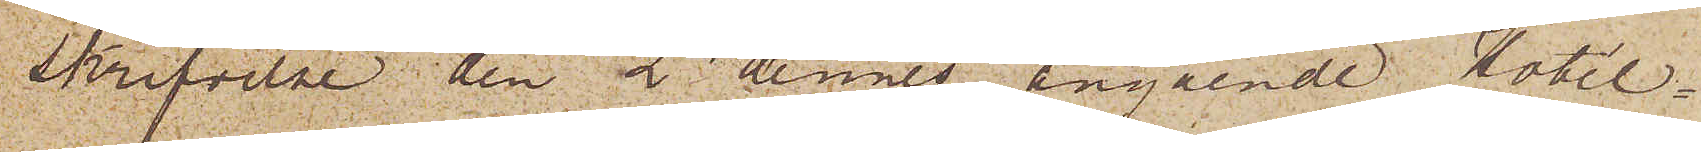skrifvelse den 2 dennes angående Hotel¬
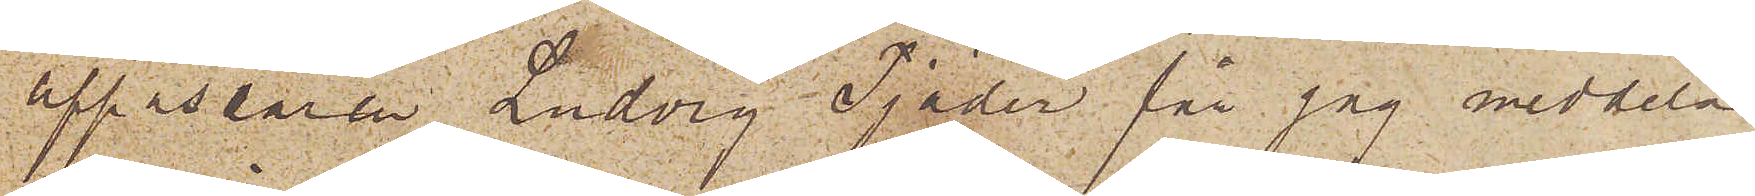uppassaren Ludvig Tjäder får jag meddela
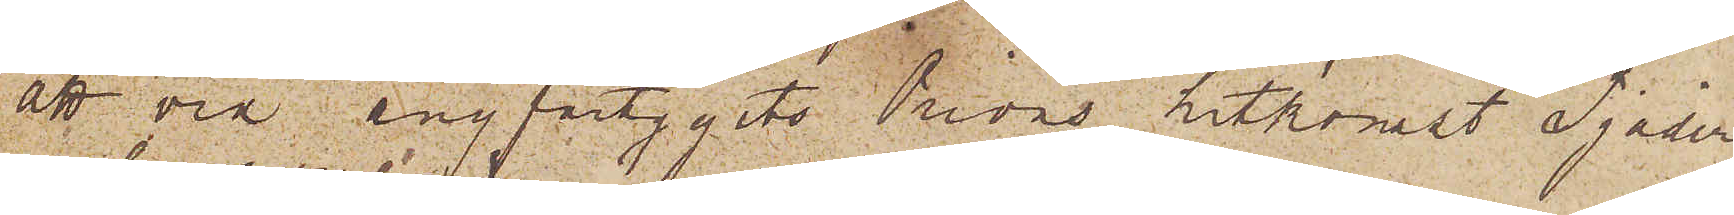att vid ångfartygets Orions hitkomst Tjäder
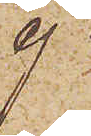ej
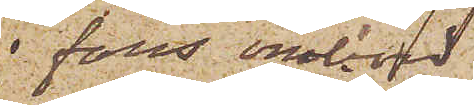fanns ombord;
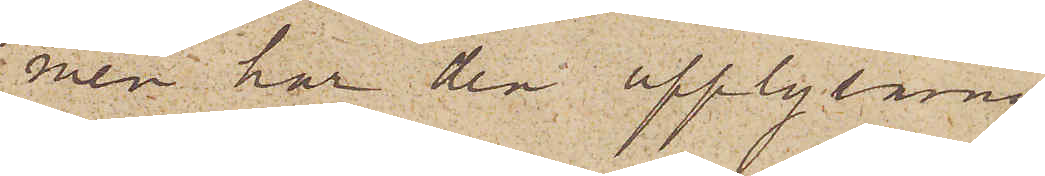men har den upplysning
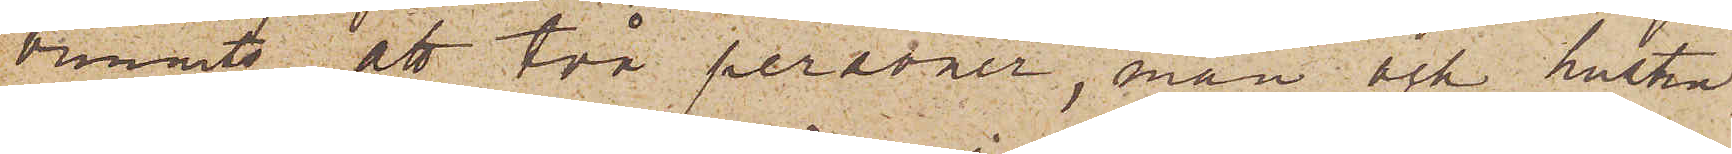vunnits, att två personer, man och hustru,
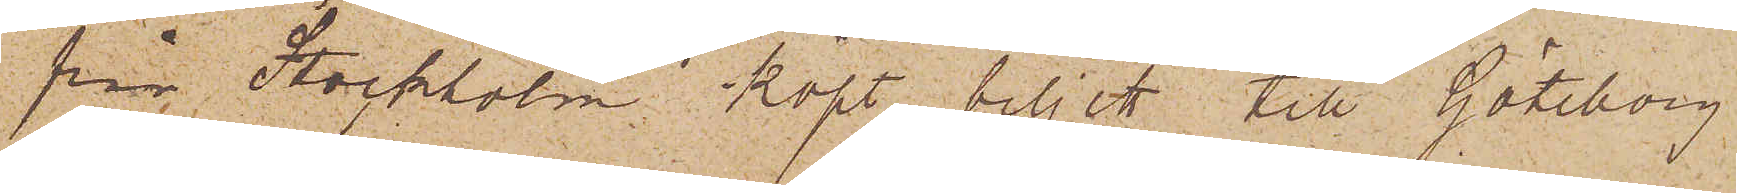från Stockholm köpt biljett till Göteborg
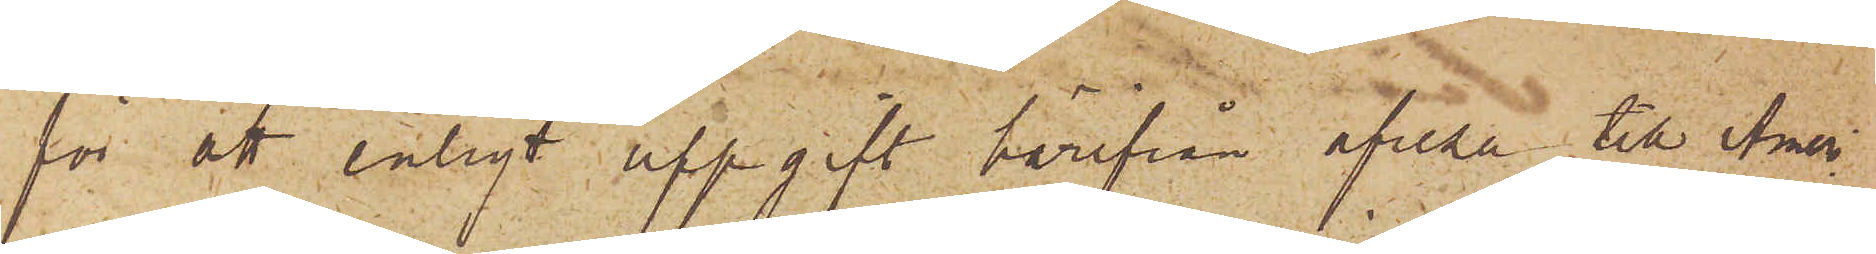för att enligt uppgift härifrån afresa till Amer¬
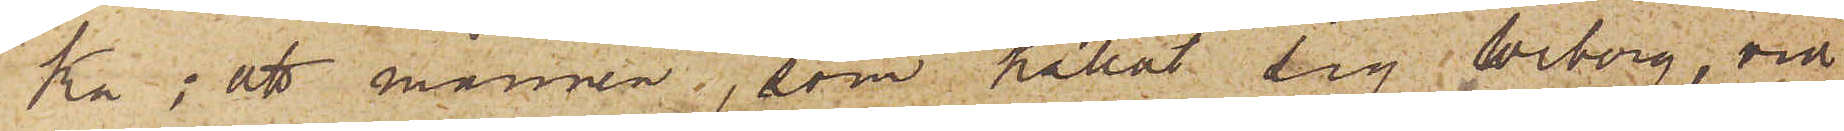ka; att mannen, som kallat sig Wiborg, vid
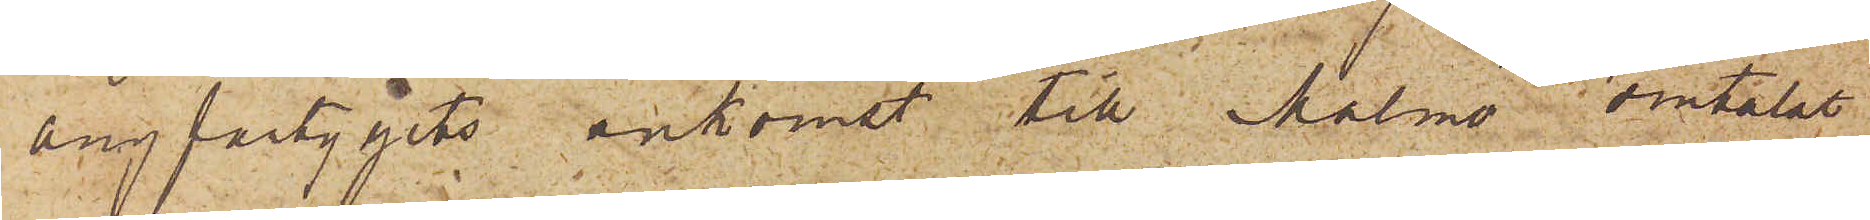ångfartygets ankomst till Malmö omtalat
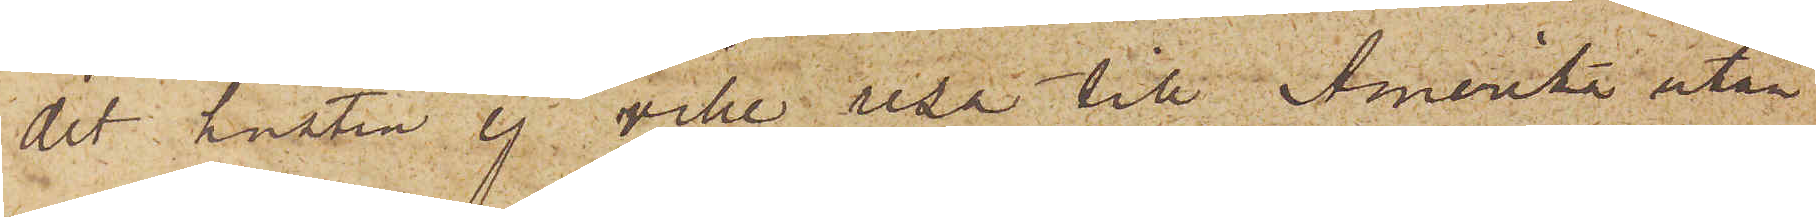det hustru ej ville resa till Amerika utan
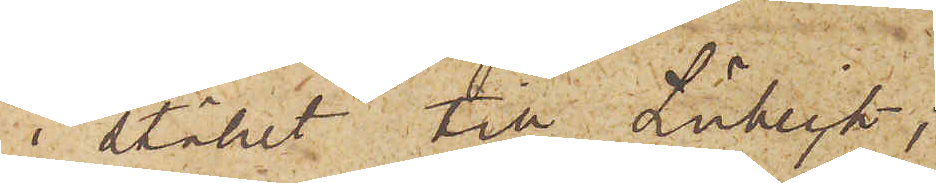i stället till Lübeck;
